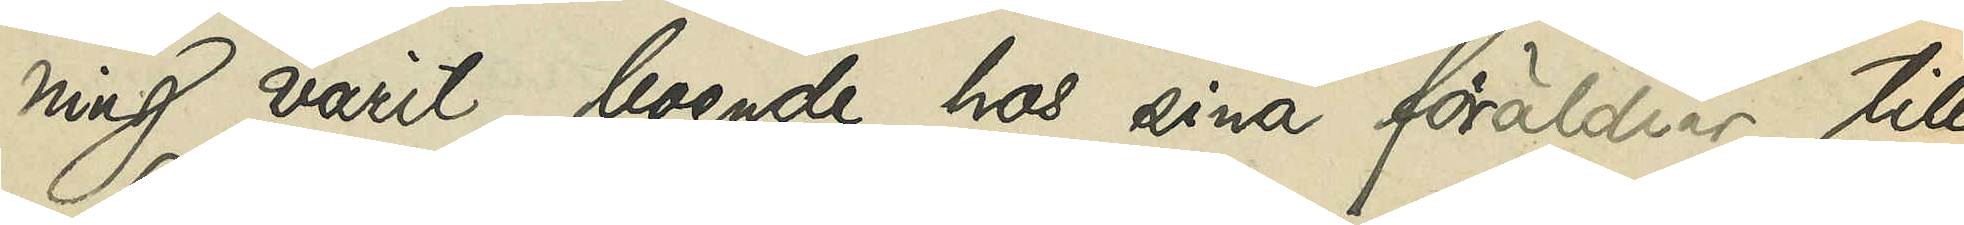ning varit boende hos sina föräldrar till
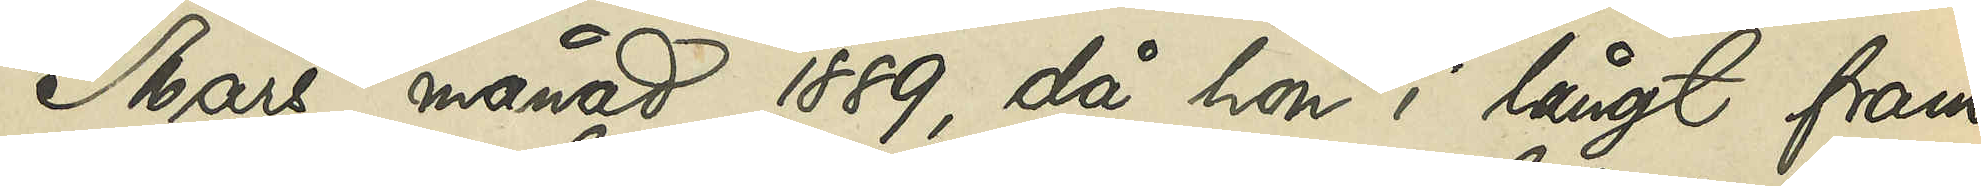Mars månad 1889, då hon i långt fram¬
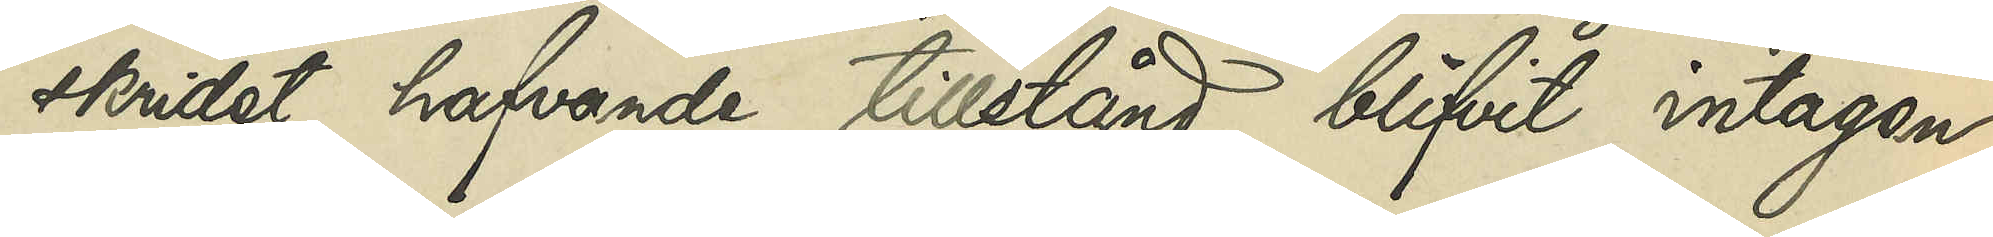skridet hafvande tillstånd blifvit intagen
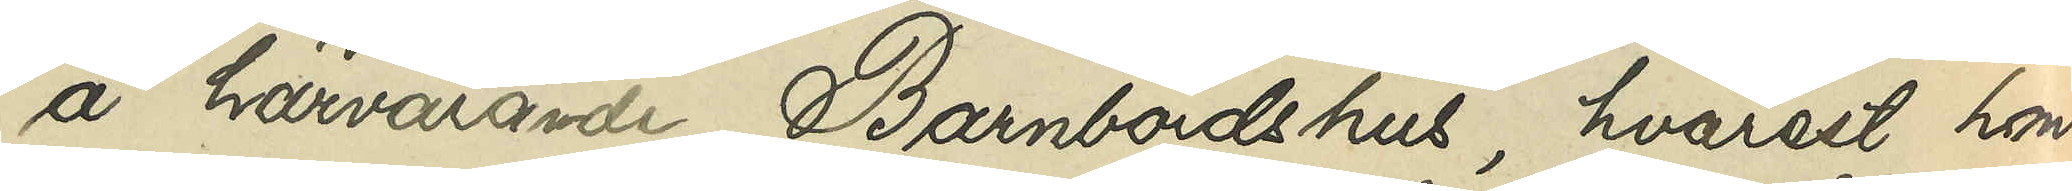å härvarande Barnbördshus, hvarest hon
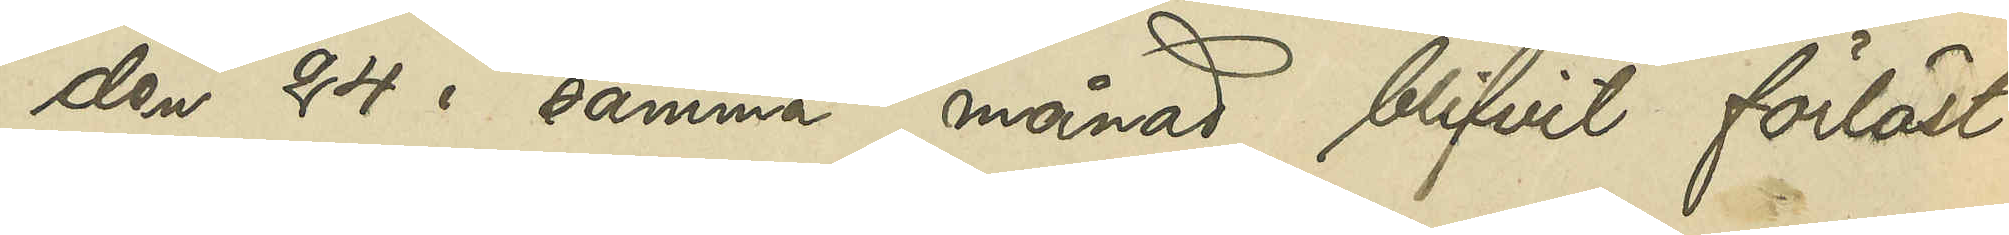den 24 i samma månad blifvit förlöst
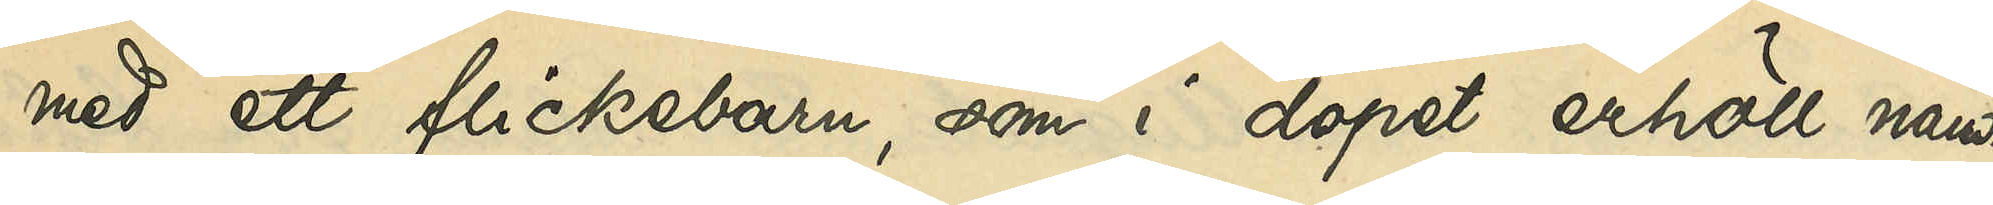med ett flickebarn, som i dopet erhöll nam¬
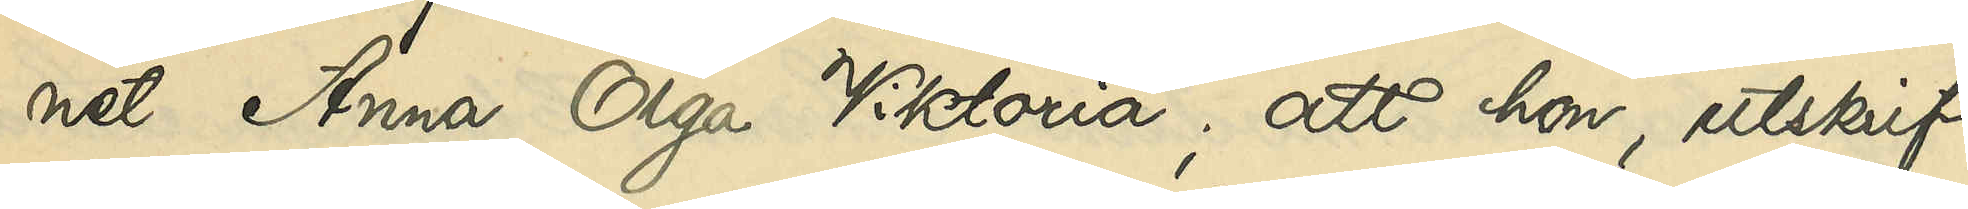net Anna Olga Viktoria; att hon, utskrif¬
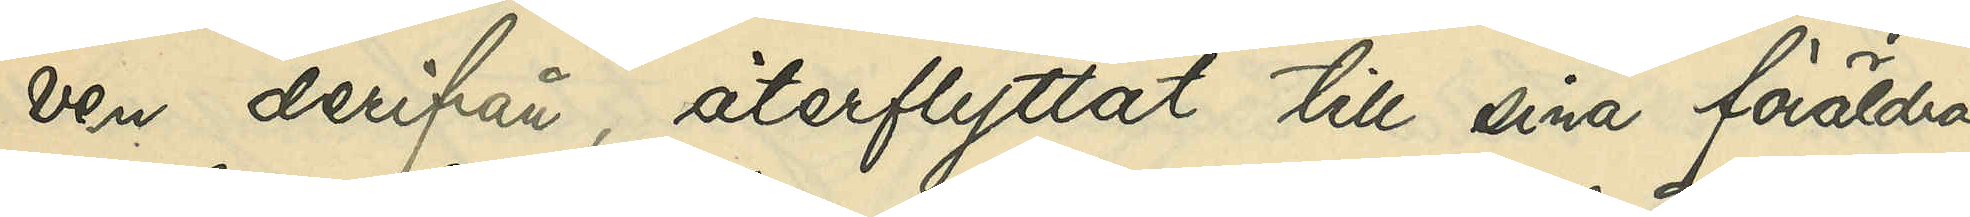ven derifrån återflyttat till sina föräldrar
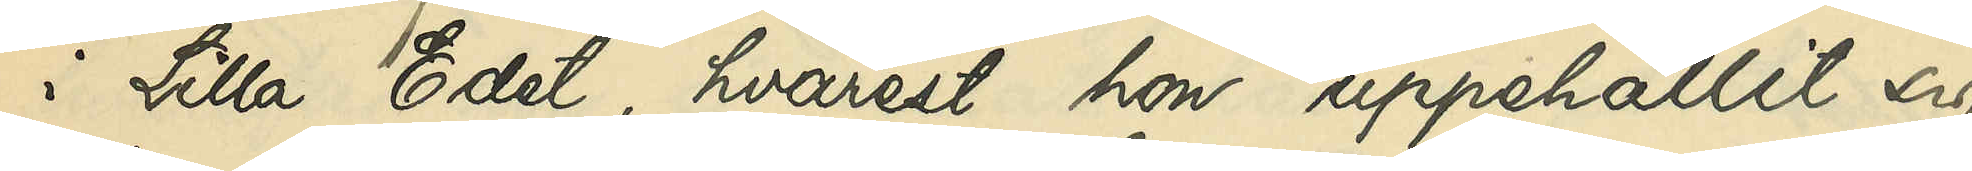i Lilla Edet, hvarest hon uppehållit sig
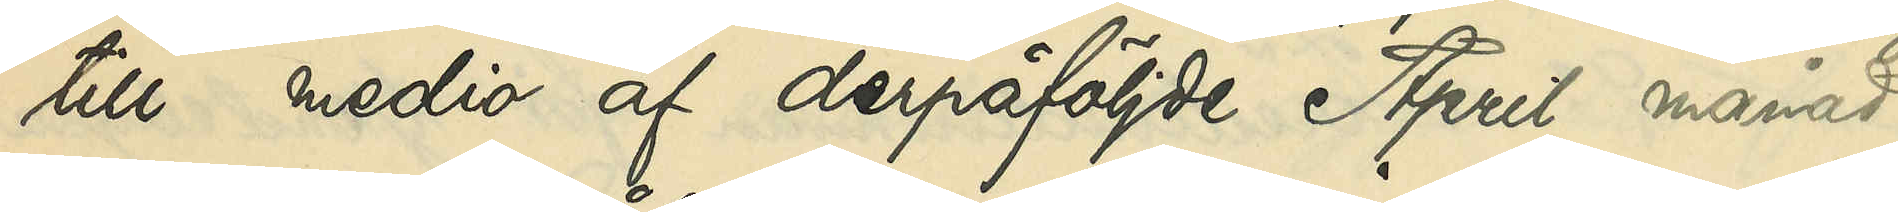till medio af derpåföljde April månad,
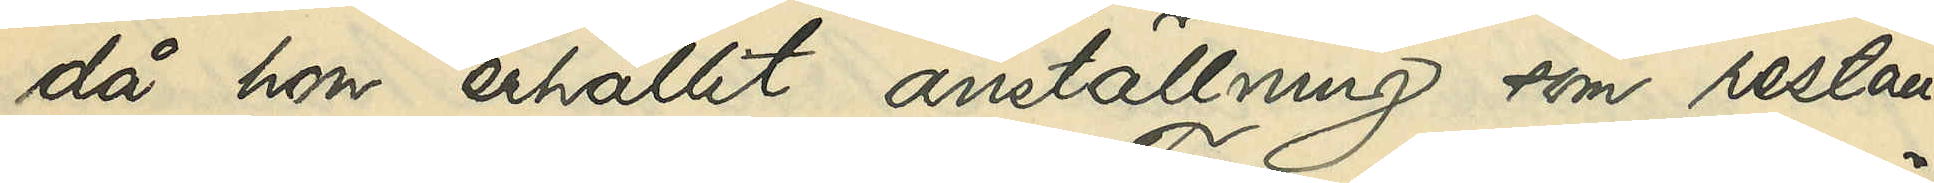då hon erhållit anställning som restau¬
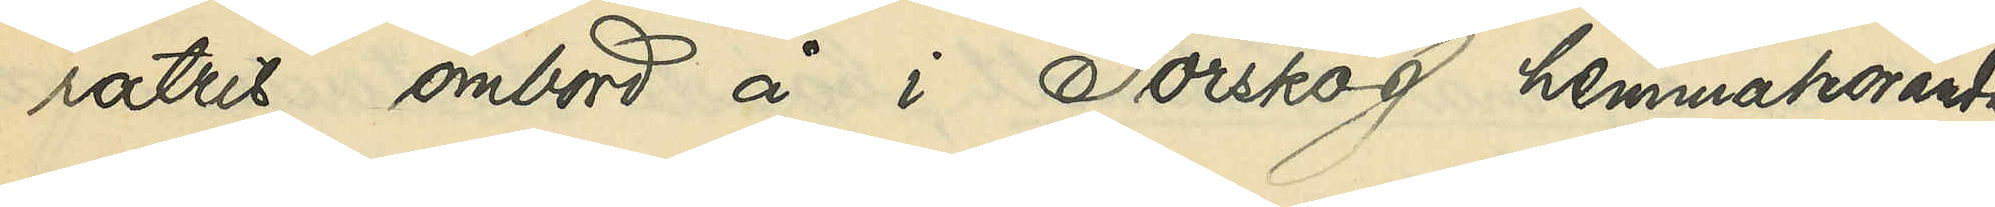ratris ombord å i Torskog hemmahörande
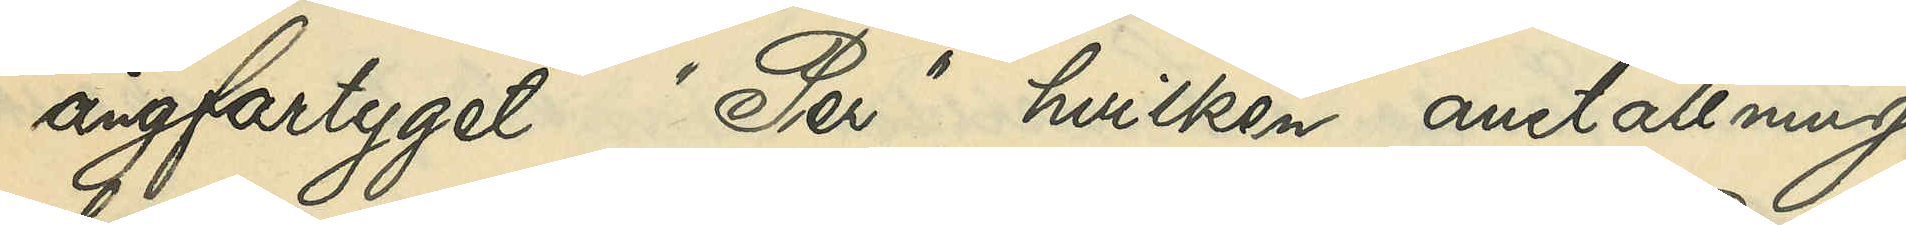ångfartyget "Per", hvilken anställning
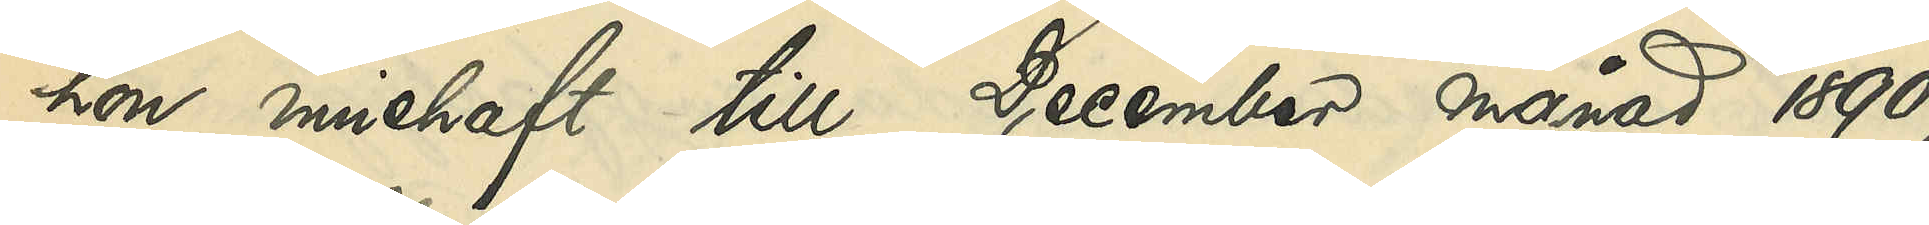hon innehaft till December månad 1890,
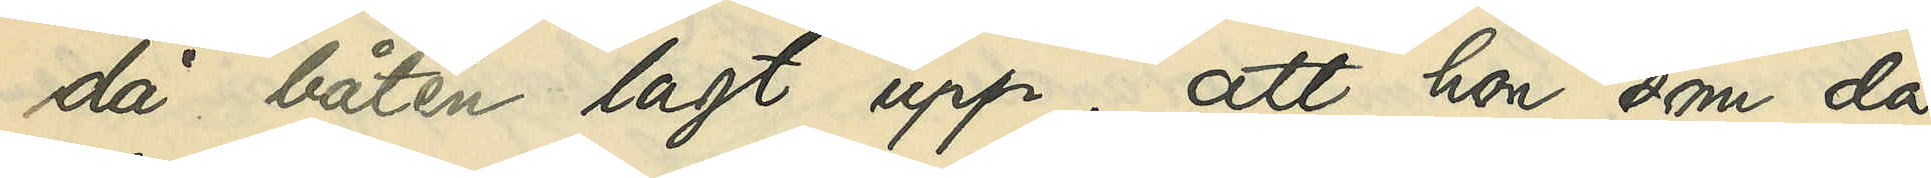då båten lagt upp; att hon, som då
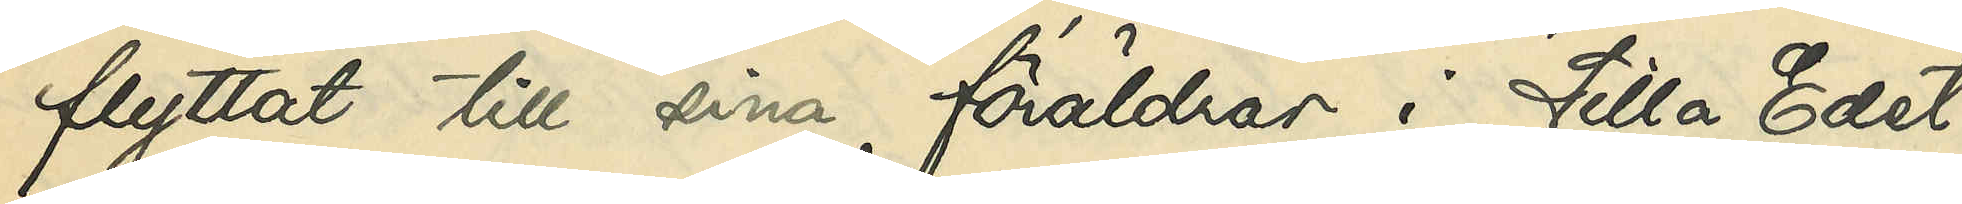flyttat till sina föräldrar i Lilla Edet,
